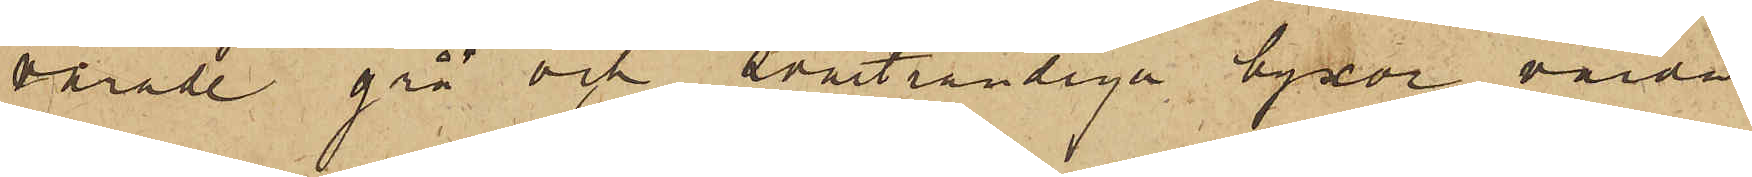varade grå och svartrandiga byxor, värda
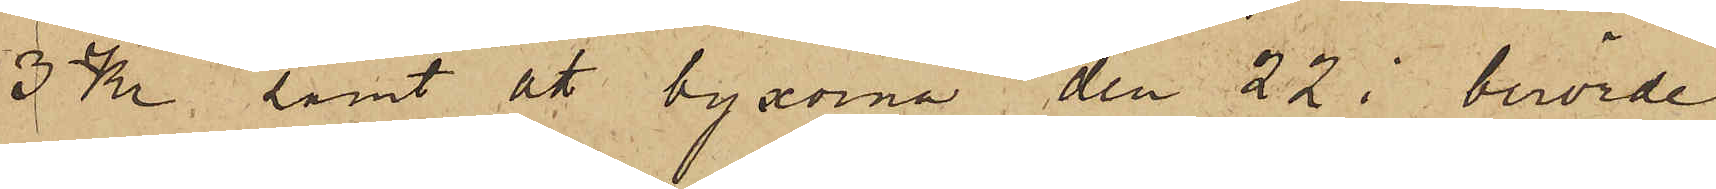3 Kr. samt att byxorna den 22 i berörde
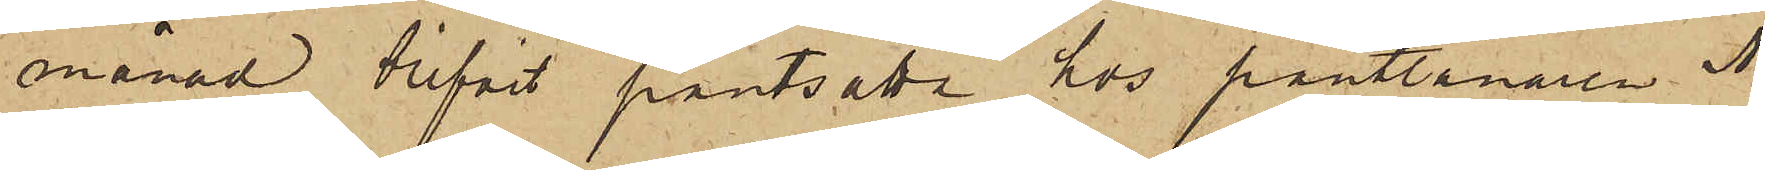månad blifvit pantsatta hos pantlånaren A.
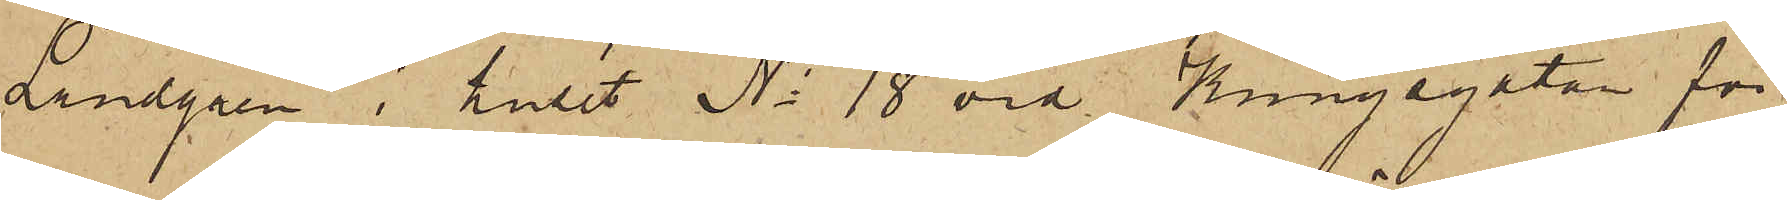Lindgren i huset No 18 vid Kungsgatan för
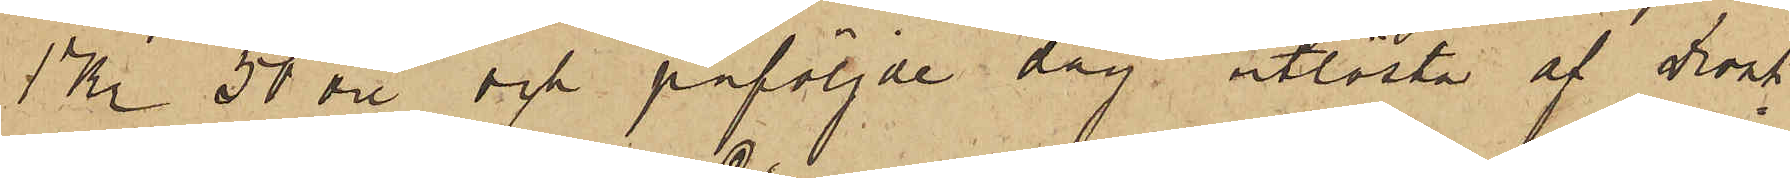1 Kr 50 öre och påföljde dag utlösta af Drosk¬
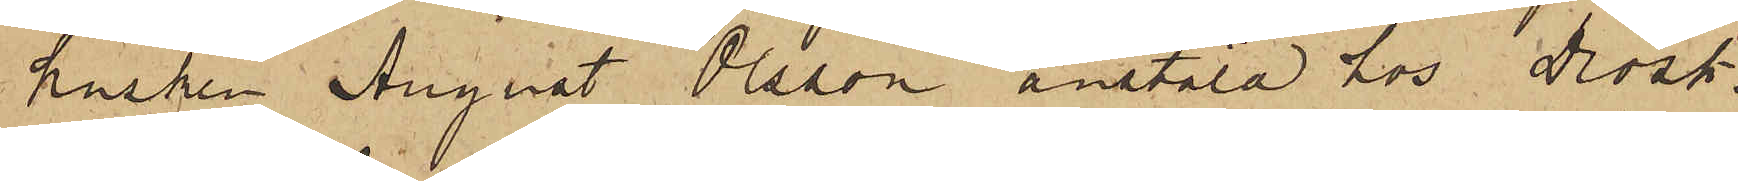kusken August Olsson anstäld hos drosk¬
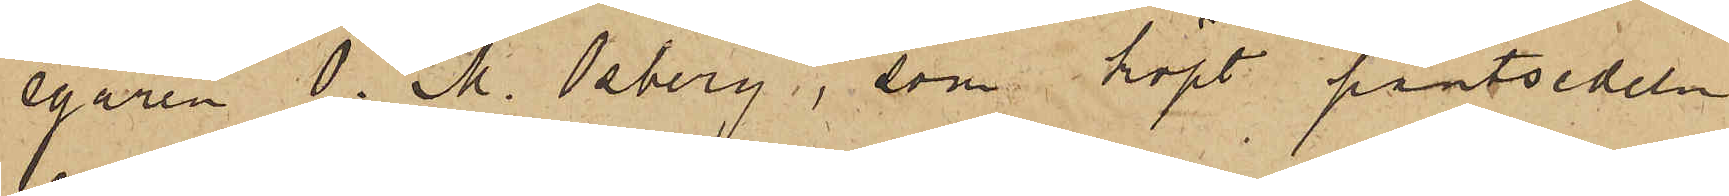egaren O. M. Osberg, som köpt pantsedeln
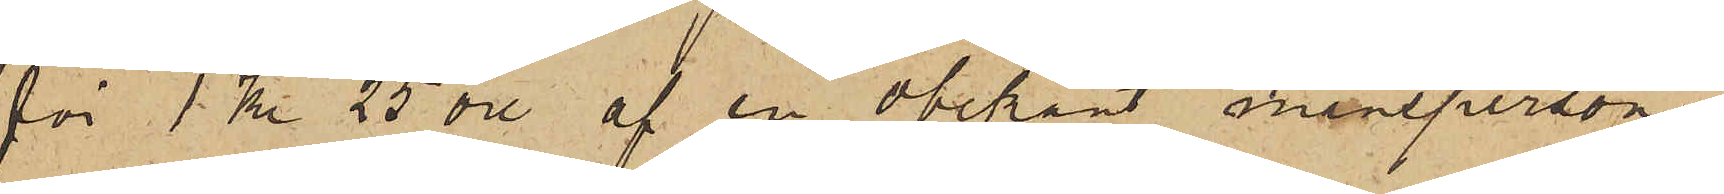för 1 Kr. 25 öre af en obekant mansperson.
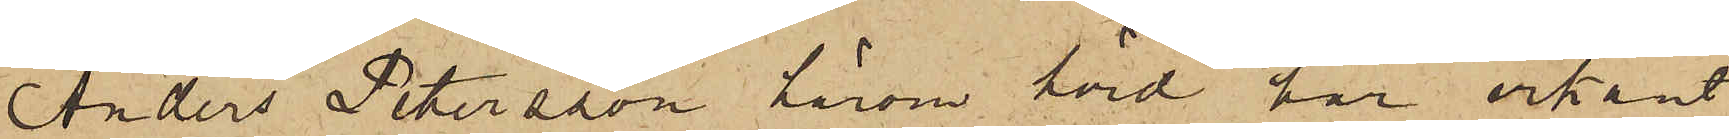Anders Petersson härom hörd har erkänt
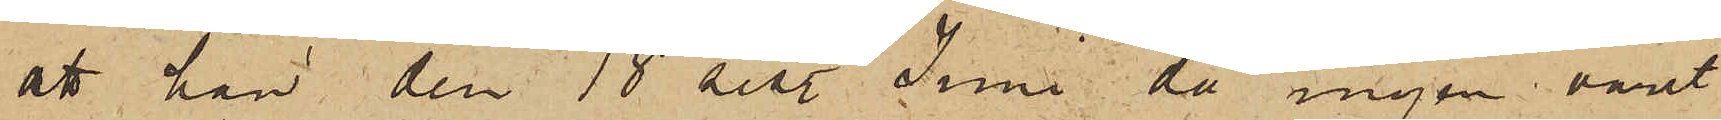att han den 18 sist. Juni, då ingen varit
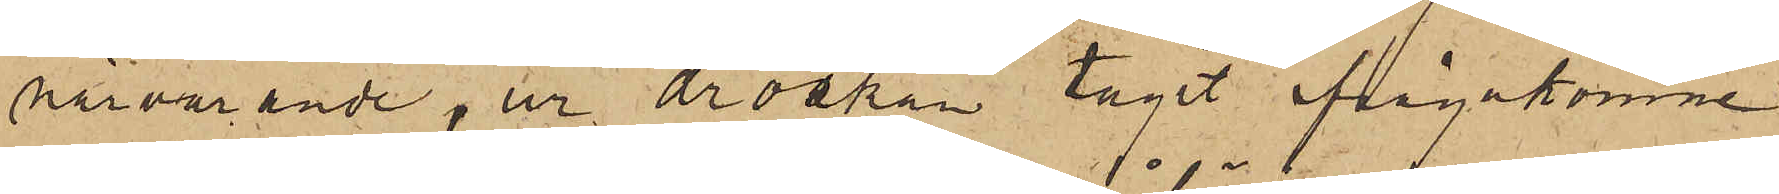närvarande, ur droskan tagit ifrågakomne
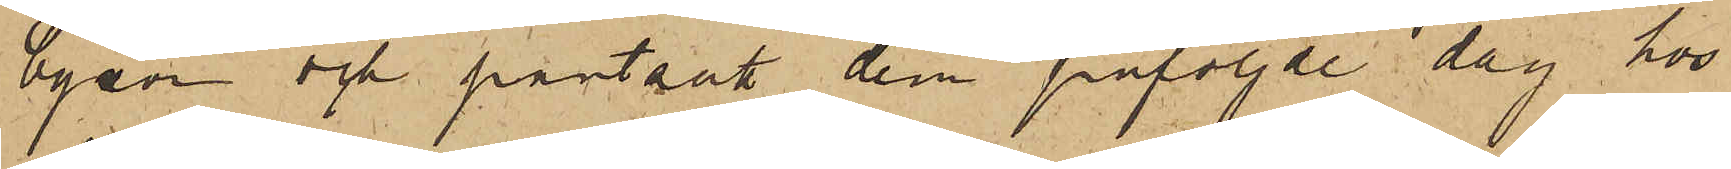byxor och pantsatt dem påföljde dag hos
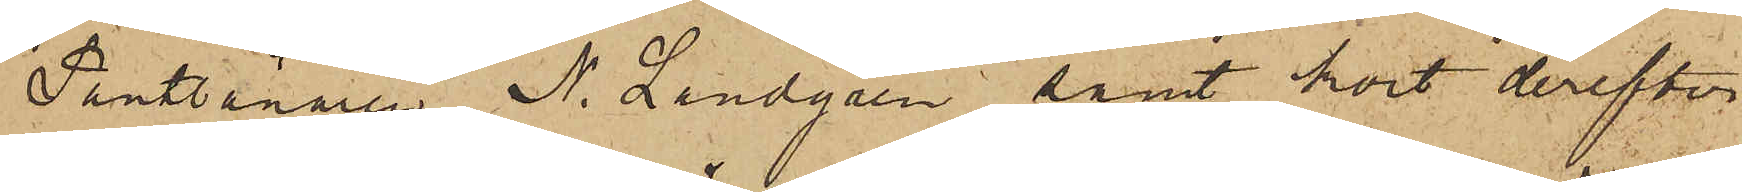Pantlånaren N. Lundgren, samt kort derefter
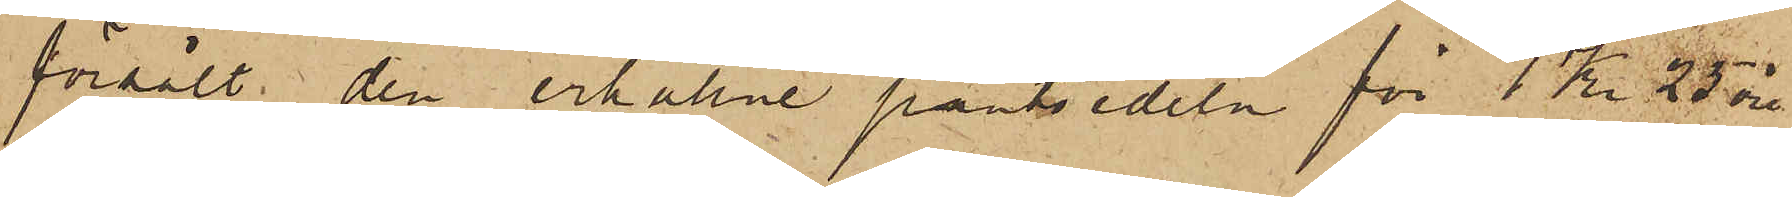försålt den erhållne pantsedeln för 1 Kr. 75 öre
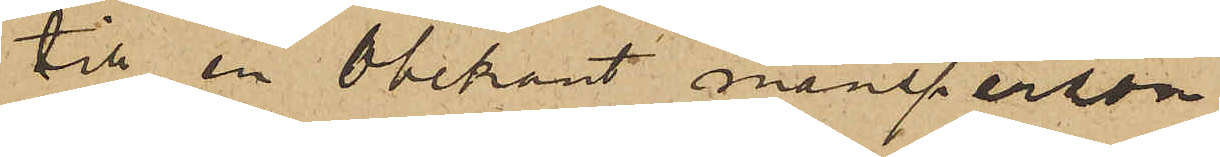till en Obekant mansperson
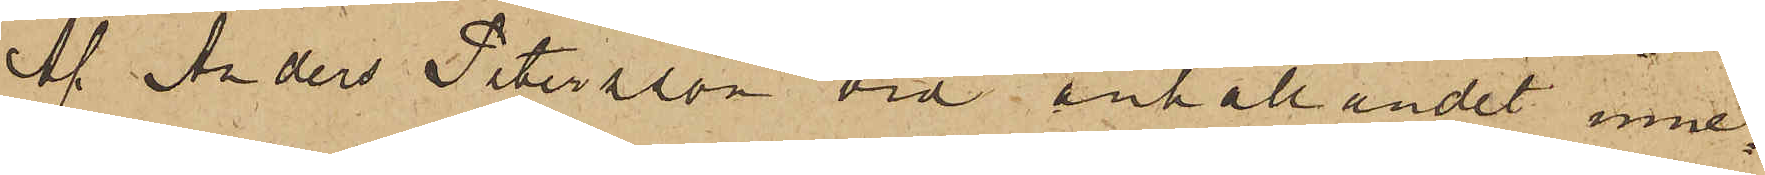Af Anders Petersson vid anhållandet inne¬
